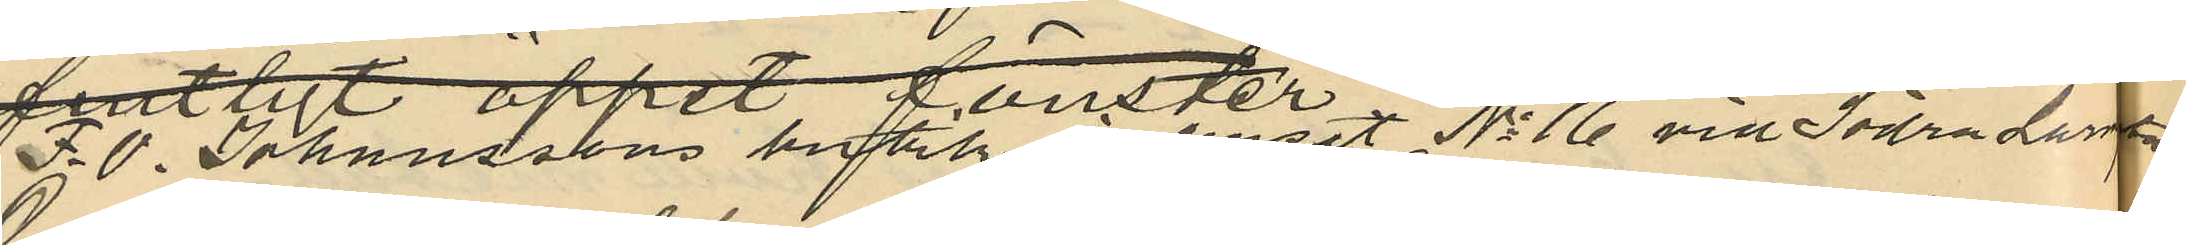F. O. Johanssons butik i huset No 16 vid Södra Larmgatan
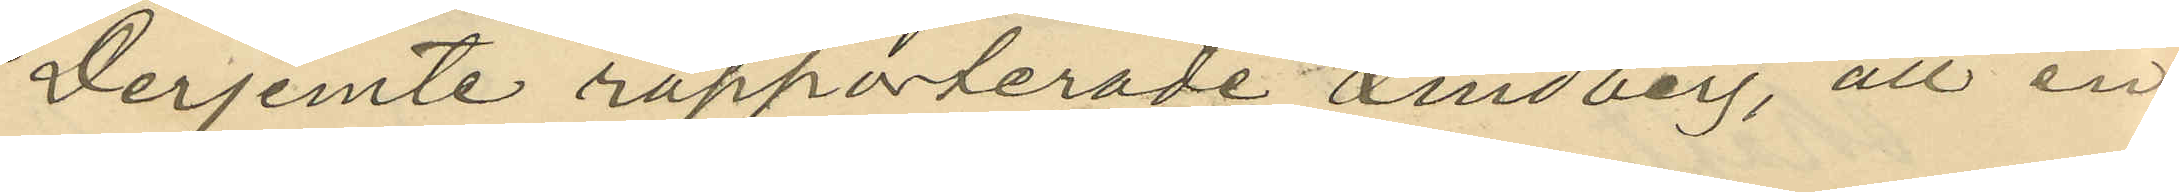Derjemte rapporterade Lindberg, att en
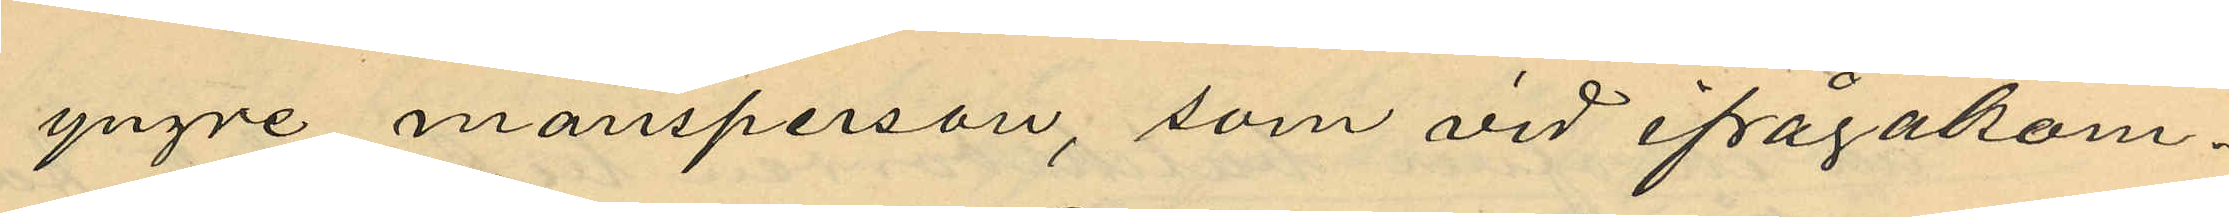yngre mansperson, som vid ifrågakom¬
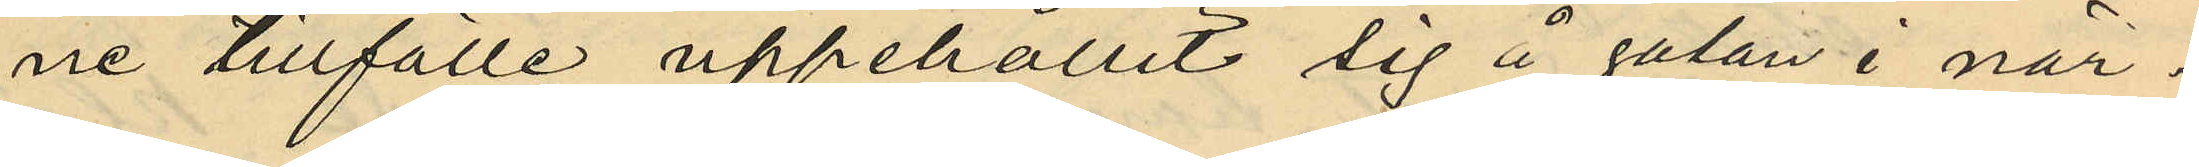ne tillfälle uppehållit sig å gatan i när¬
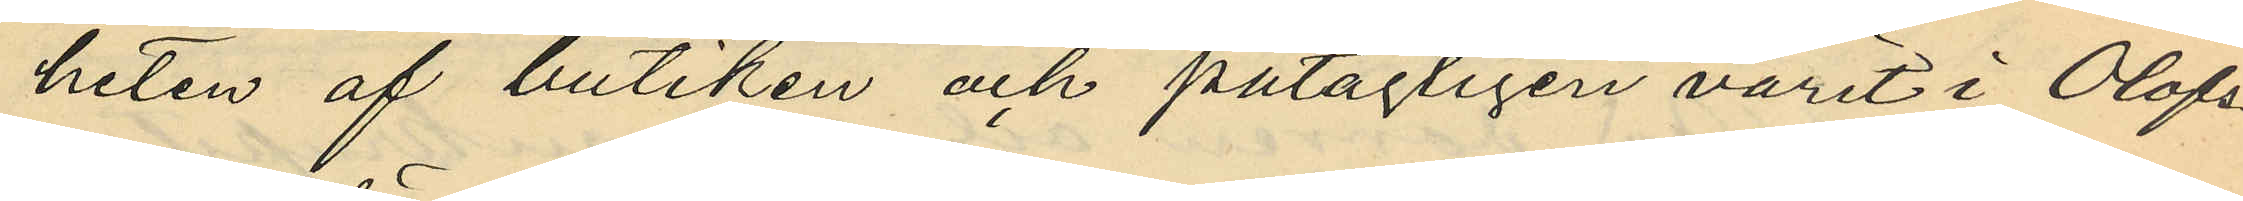heten af butiken och påtagligen varit i Olofs¬
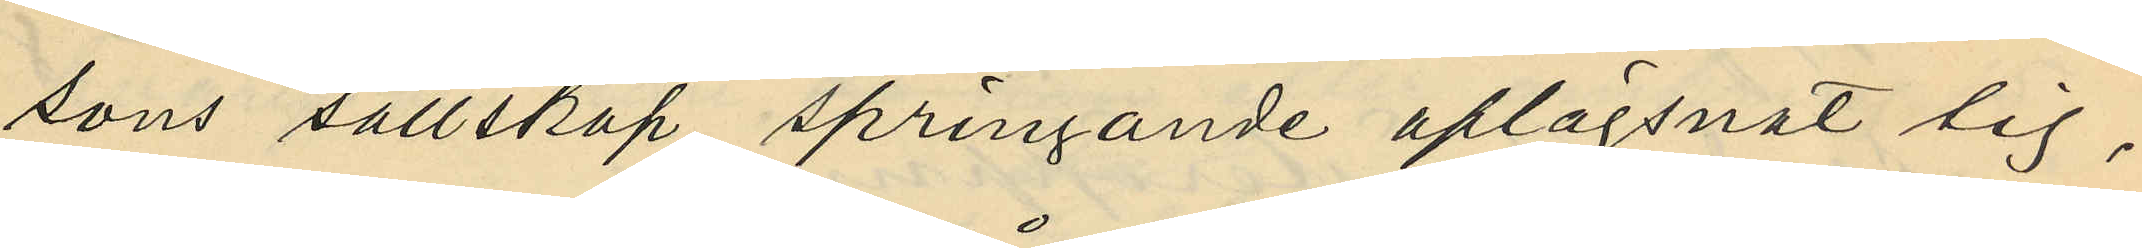sons sällskap springande aflägsnat sig,
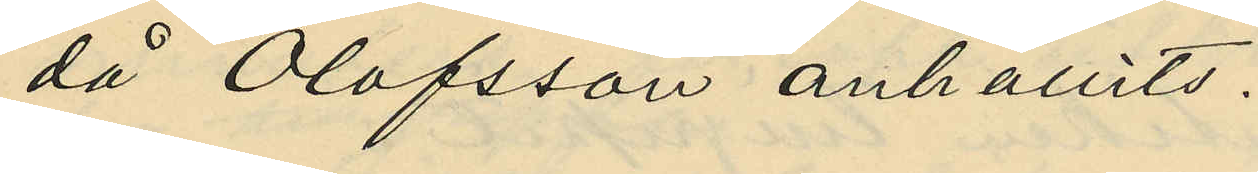då Olofsson anhållits.
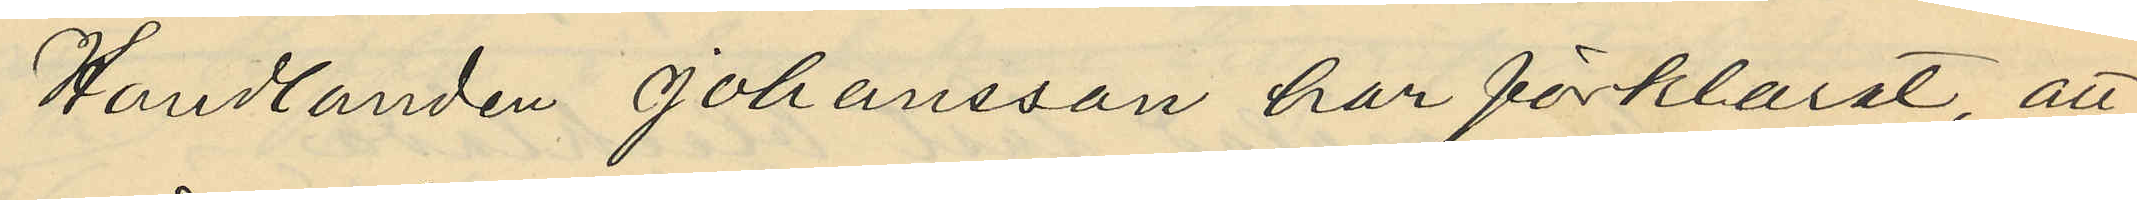Handlanden Johansson har förklarat, att
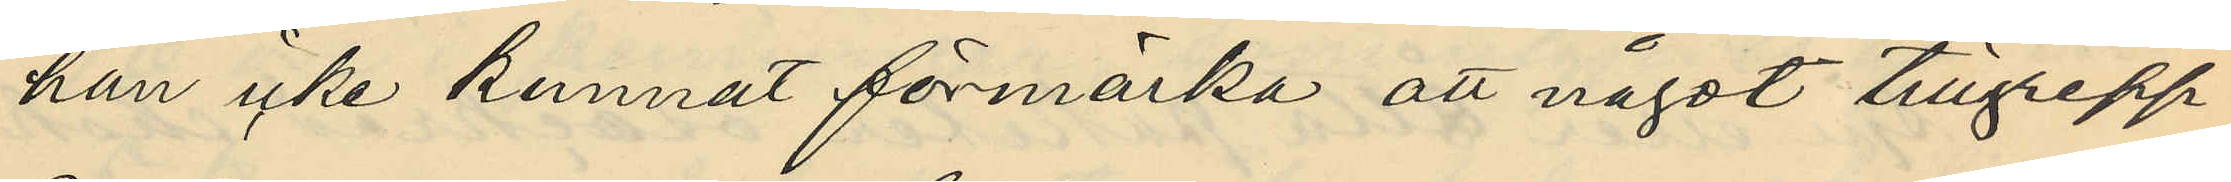han icke kunnat förmärka att något tillgrepp
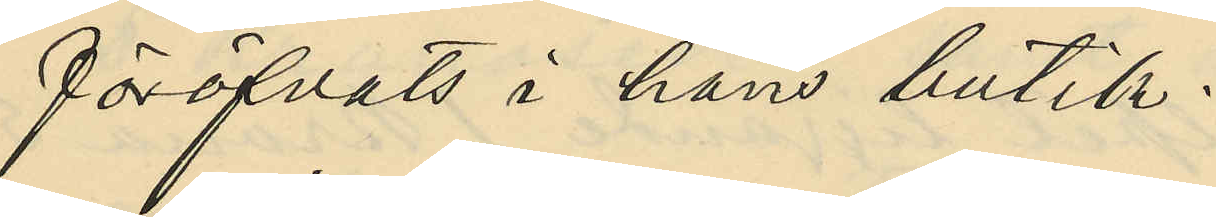föröfvats i hans butik.
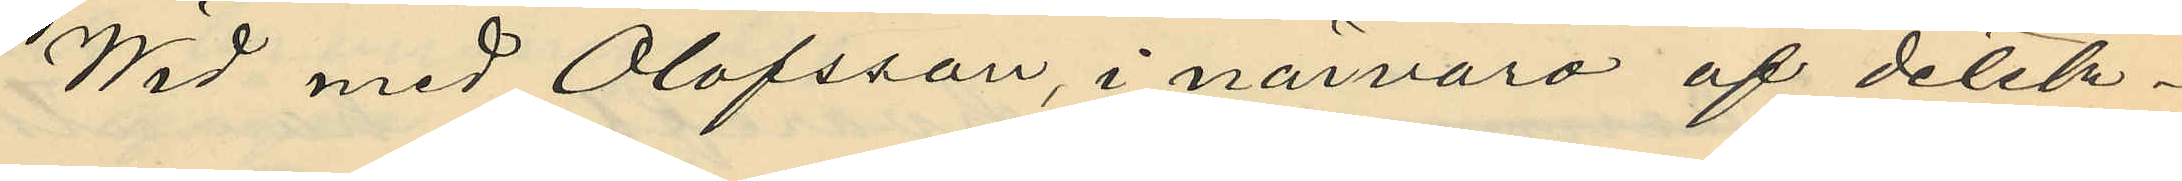Wid med Olofsson, i närvaro af detek¬
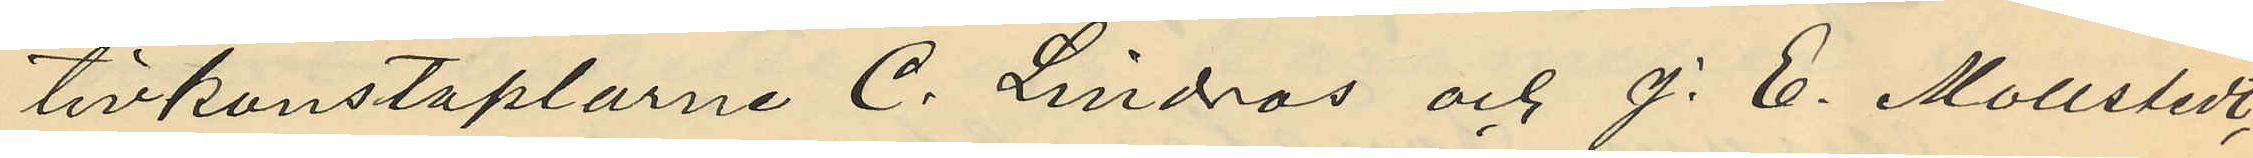tivkonstaplarne C. Lindros och J. E. Mollstedt,
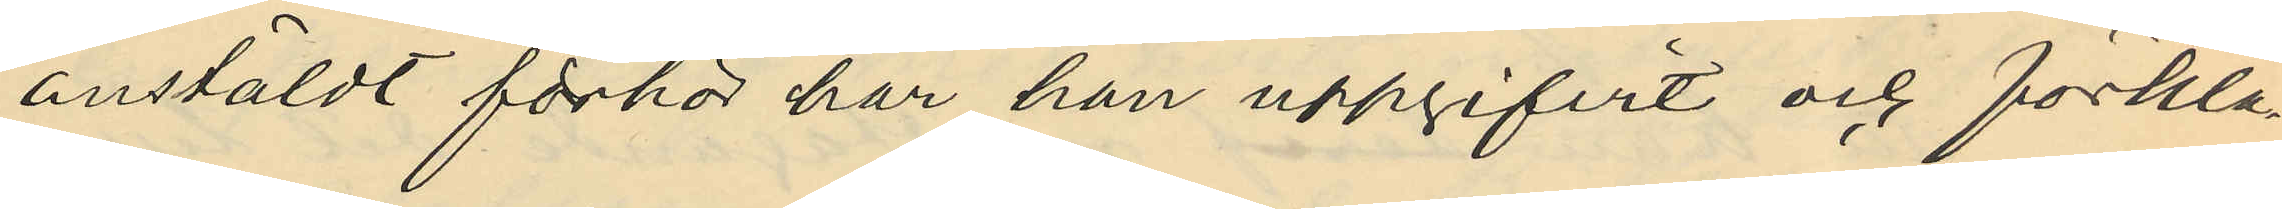anstäldt förhör har han uppgifvit och förkla¬
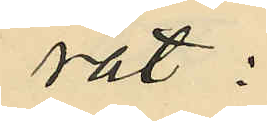rat:
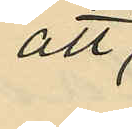att
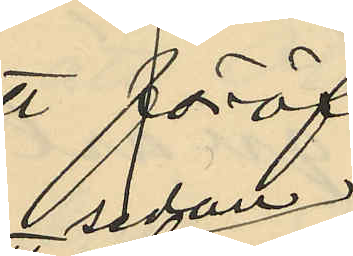sedan
